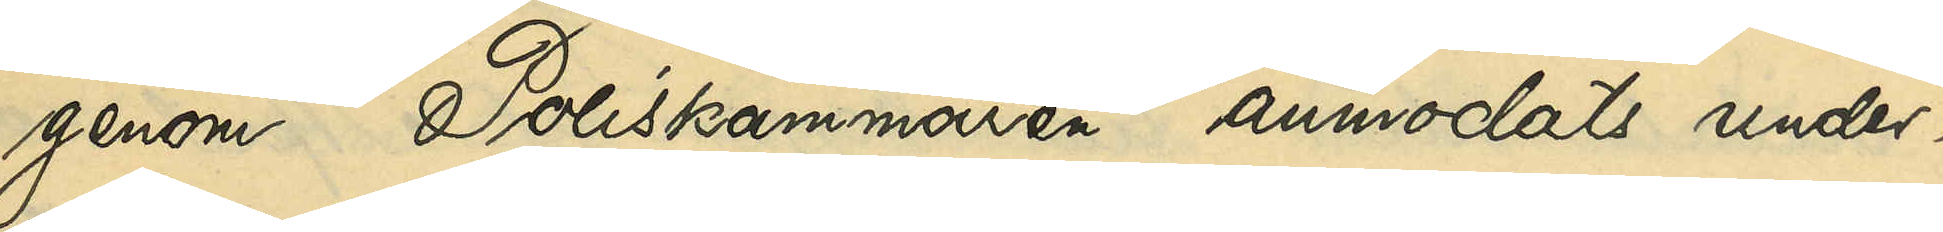genom Poliskammaren anmodats under¬
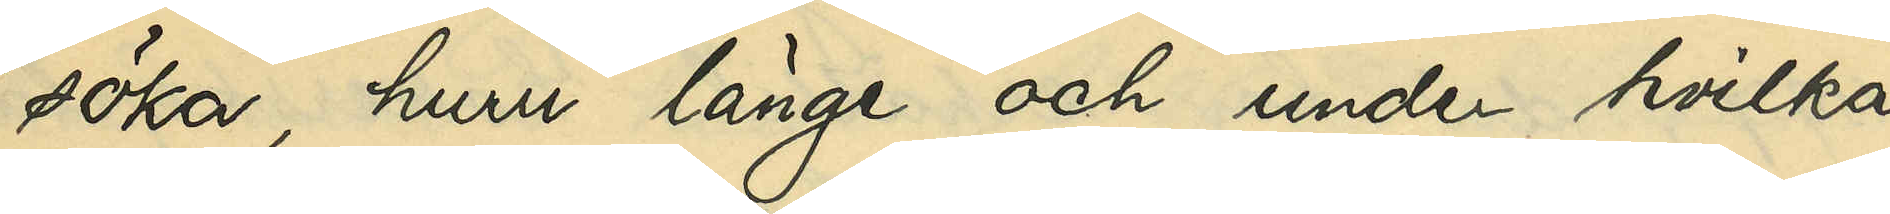söka, huru länge och under hvilka
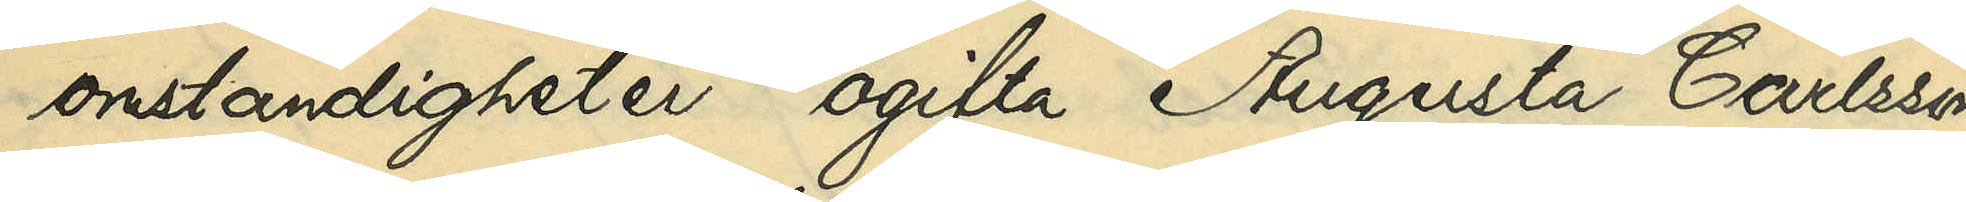omständigheter ogifta Augusta Carlsson
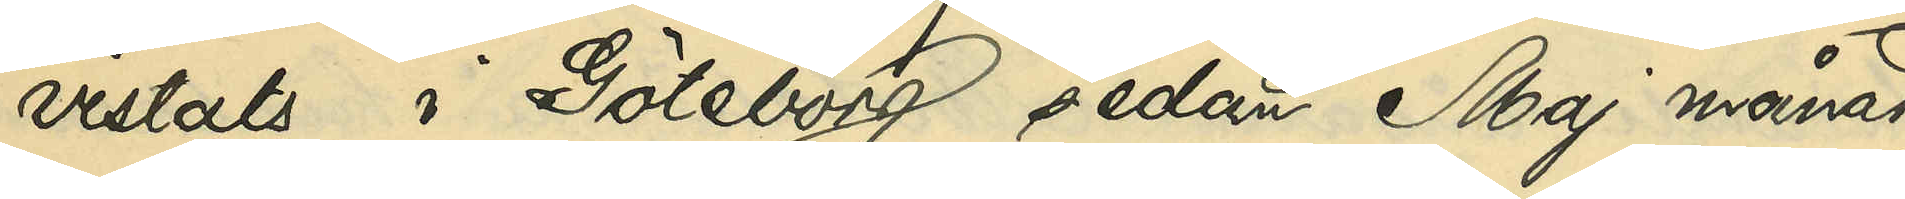vistats i Göteborg sedan Maj månad
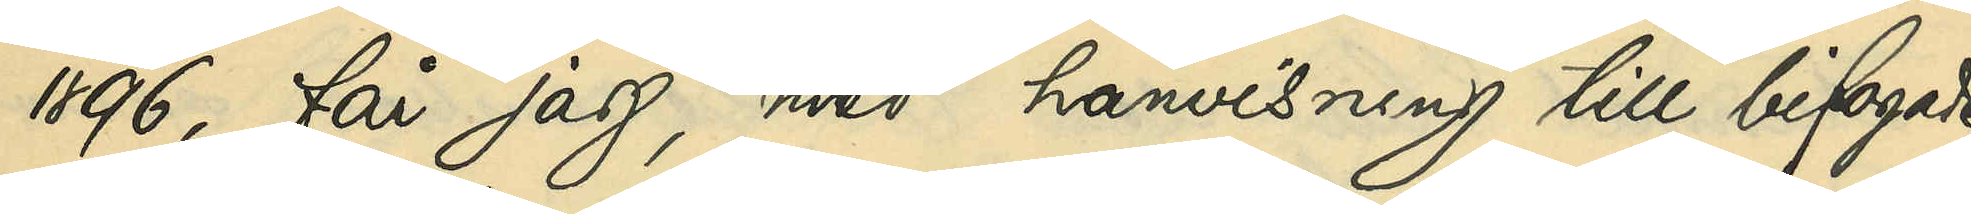1896, får jag, med hänvisning till bifogade
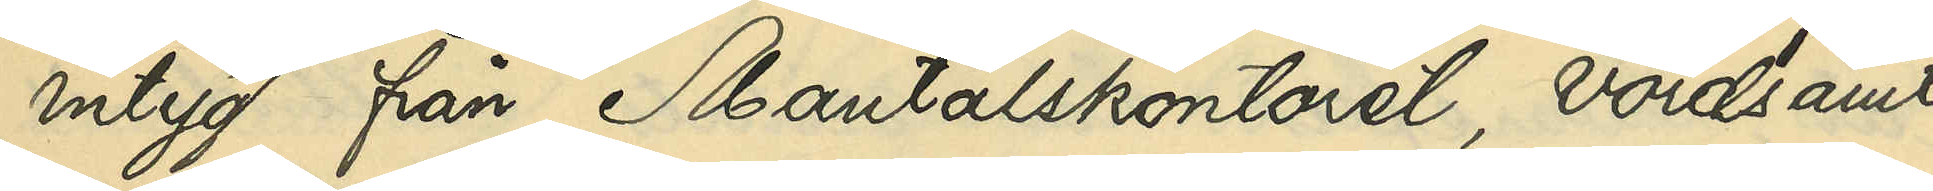intyg från Mantalskontoret, vördsamt
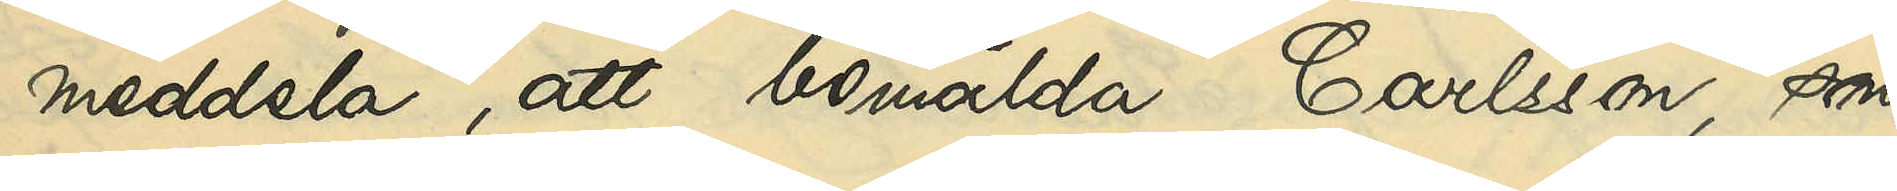meddela, att bemälda Carlsson, som
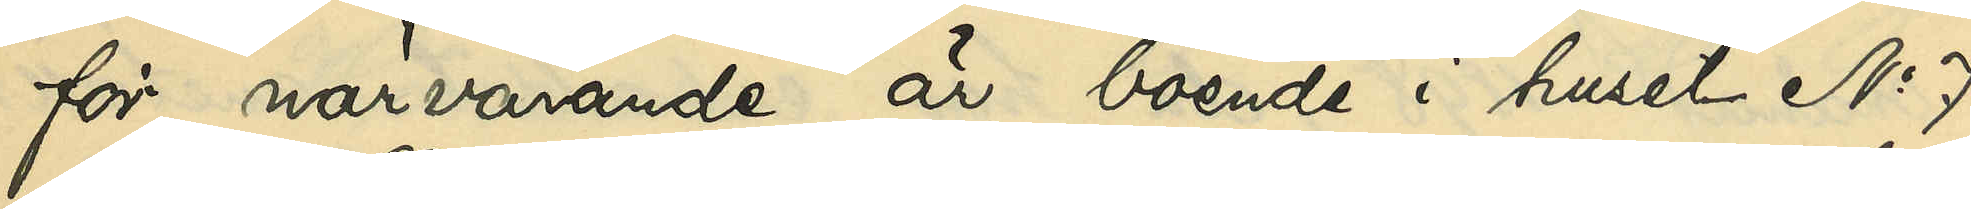för närvarande är boende i huset No 7
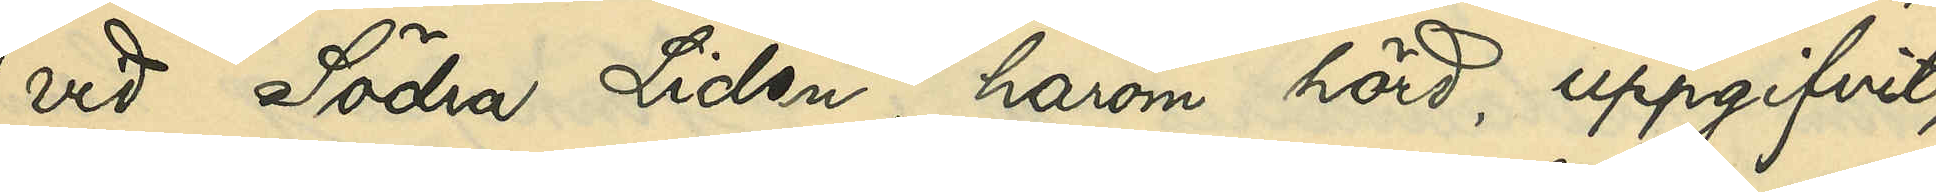vid Södra Liden, härom hörd, uppgifvit,
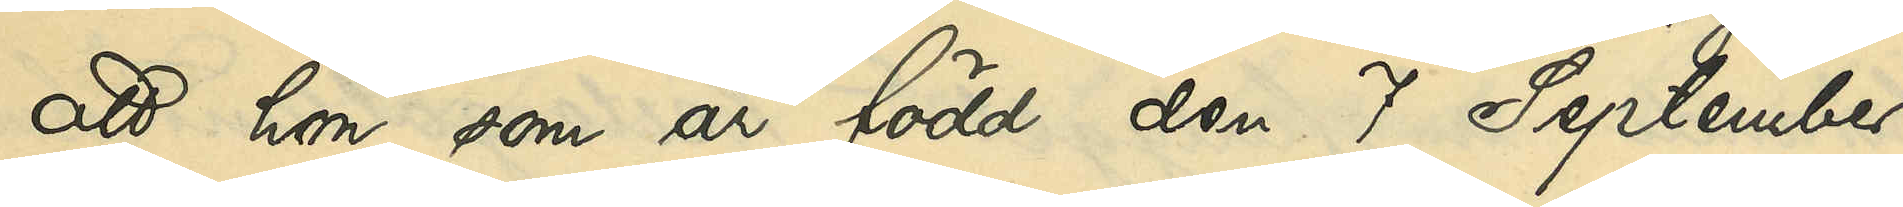att hon, som är född den 1 September
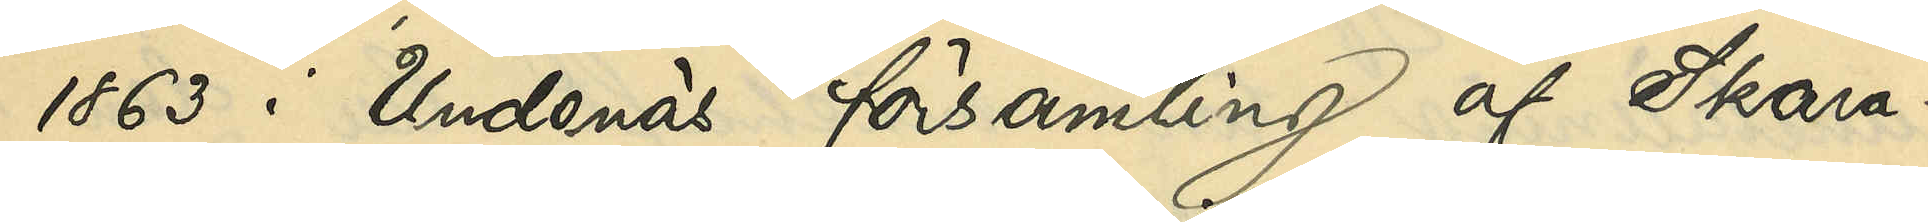1863 i Undenäs församling af Skara¬
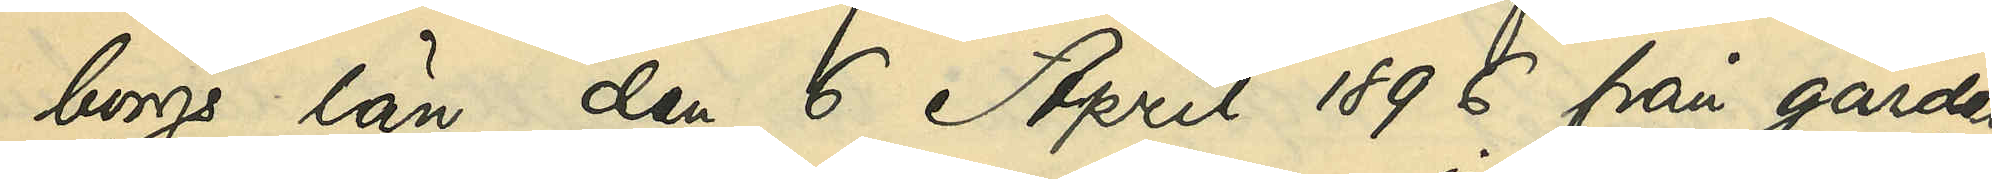borgs län den 6 April 1896 från gården
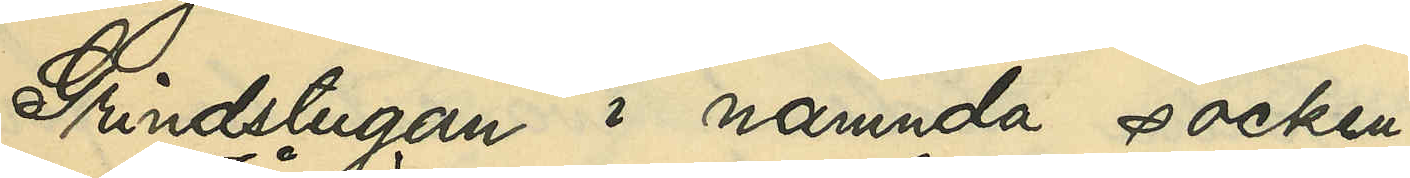Grindstugan i nämnda socken 
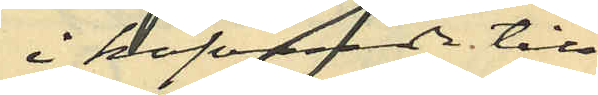i hafvande till¬
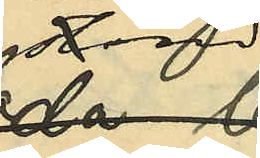stånd
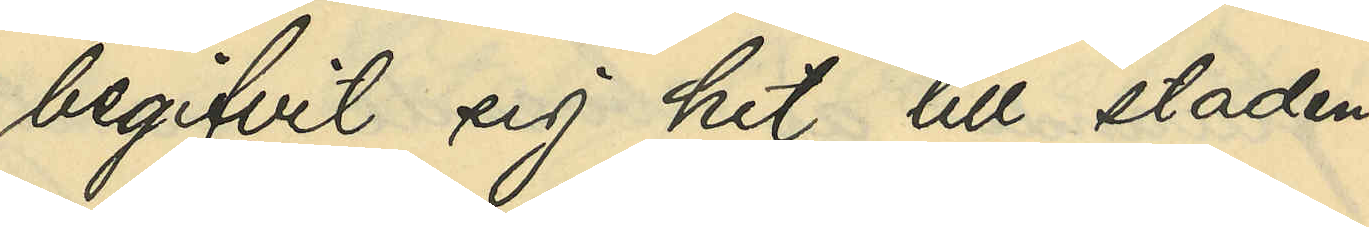begifvit sig hit till staden,
